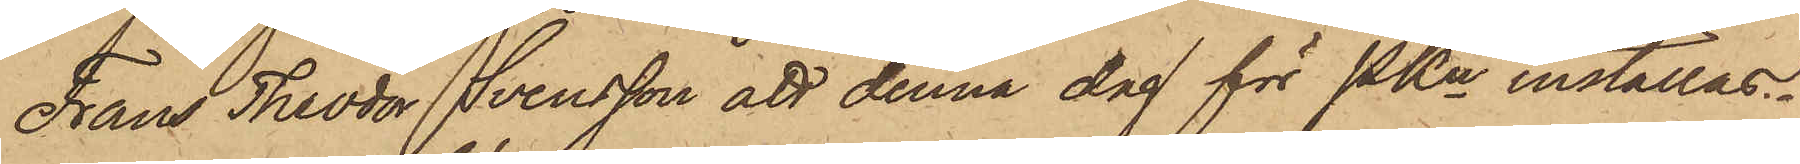Frans Theodor Svensson att denna dag för PKn inställas.
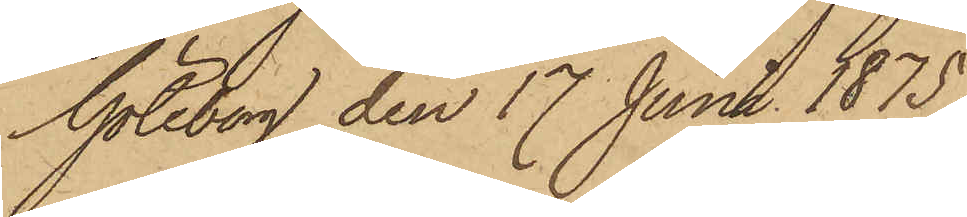Göteborg den 17 Juni 1875.
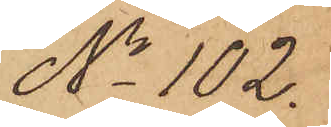No 102.
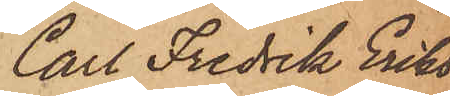Carl Fredrik Eriks¬
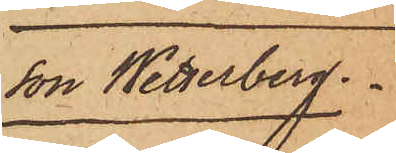son Wetterberg.
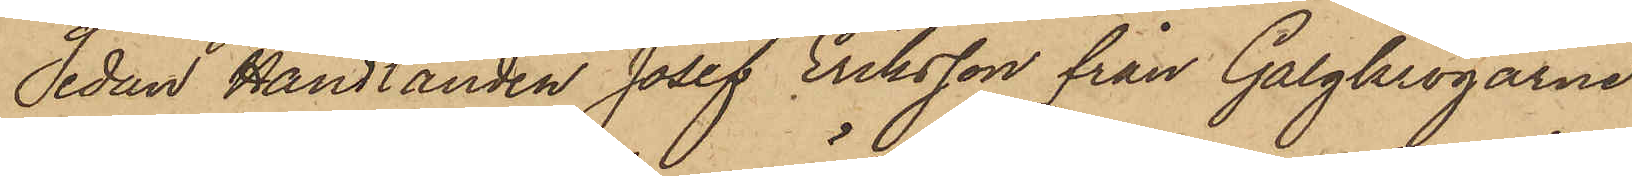Sedan Handlanden Josef Eriksson från Galgkrogarne
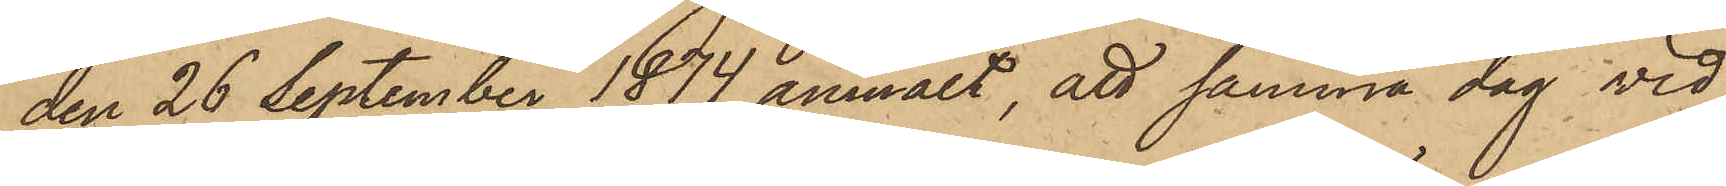den 26 September 1874 anmält, att samma dag vid
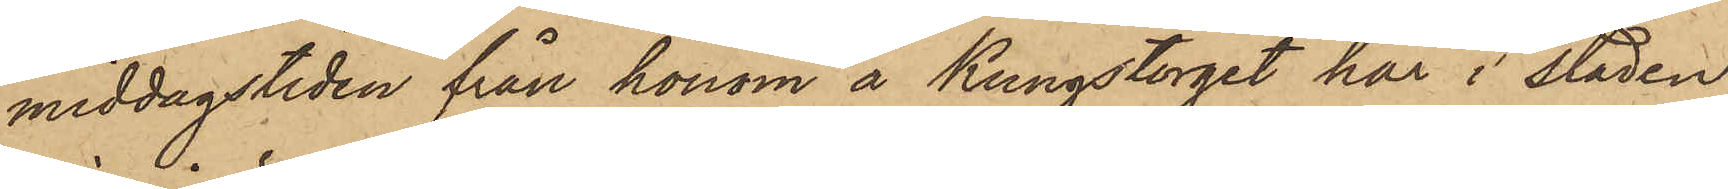middagstiden från honom å Kungstorget här i staden
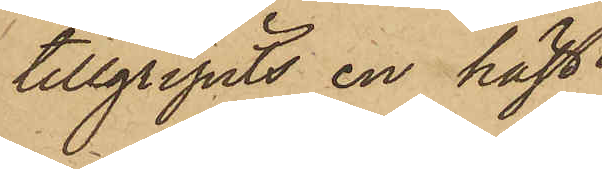tillgripits en häst.
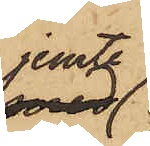jemte
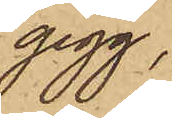gigg,
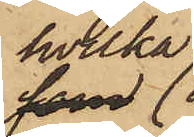hvilka
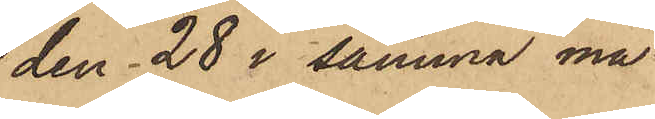den 28 i samma må¬
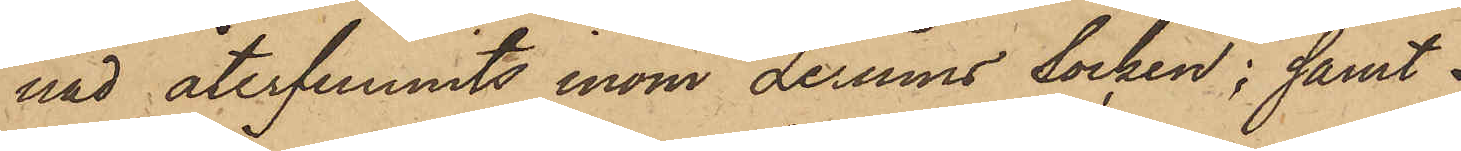nad återfunnits inom Lerums socken; samt
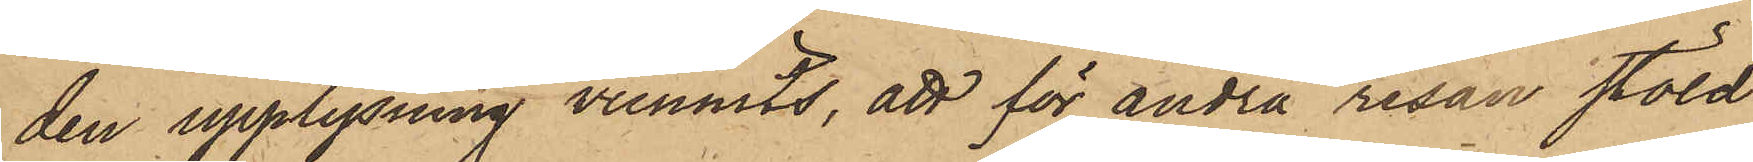den upplysning vunnits, att för andra resan stöld
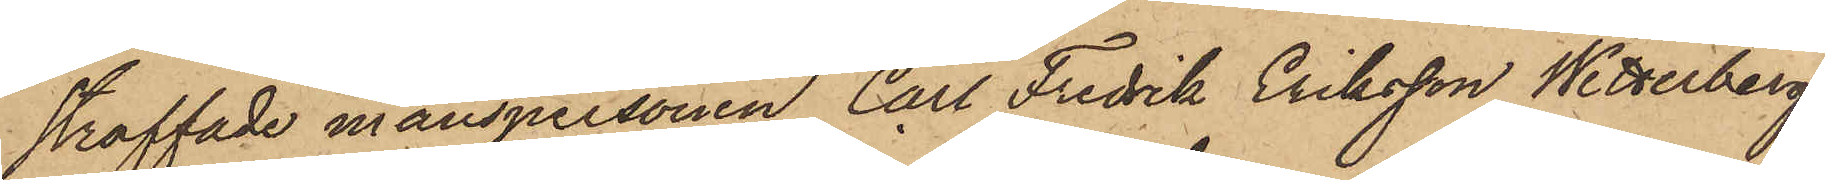straffade manspersonen Carl Fredrik Eriksson Wetterberg
